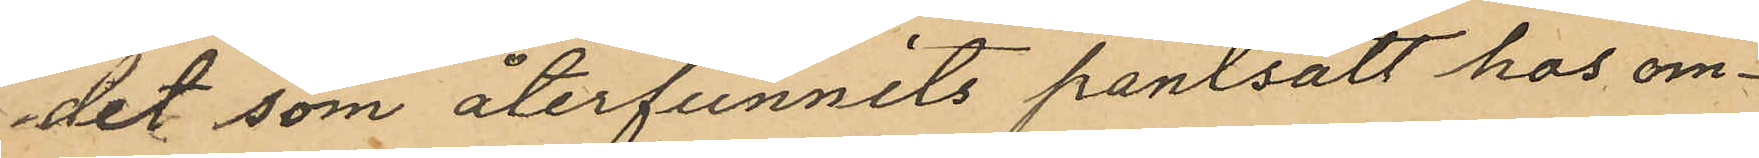det som återfunnits pantsatt hos om¬
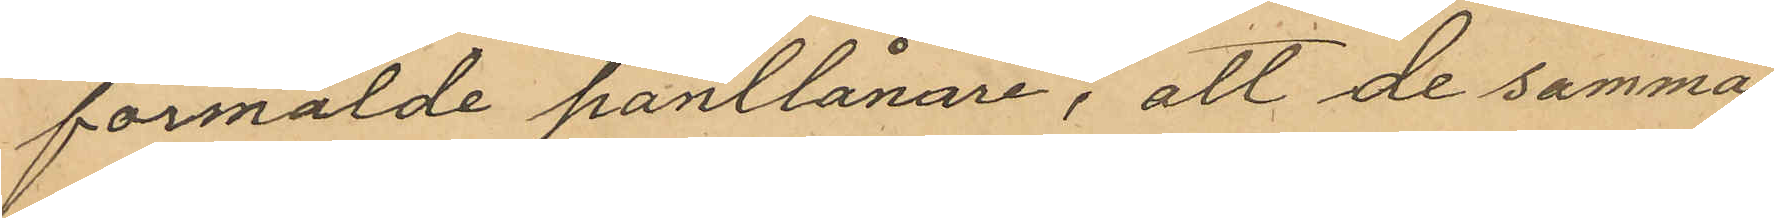förmälde pantlånare, att de samma
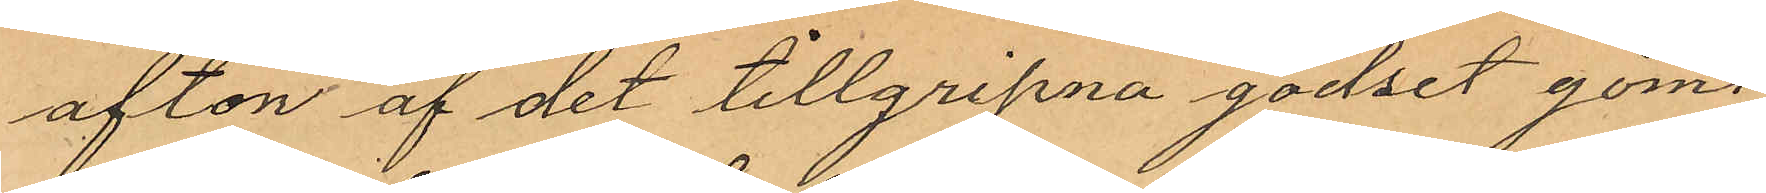afton af det tillgripna godset gömt
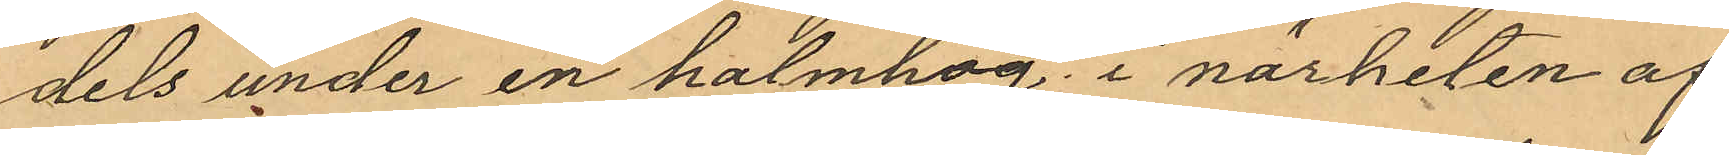dels under en halmhög i närheten af
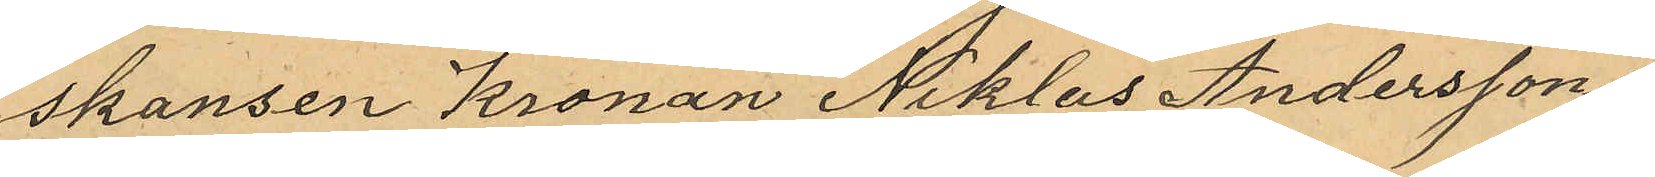skansen Kronan Niklas Anderssons
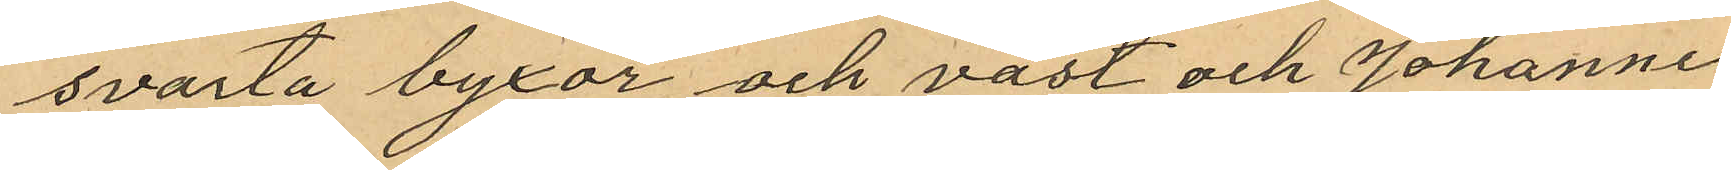svarta byxor och väst och Johannes
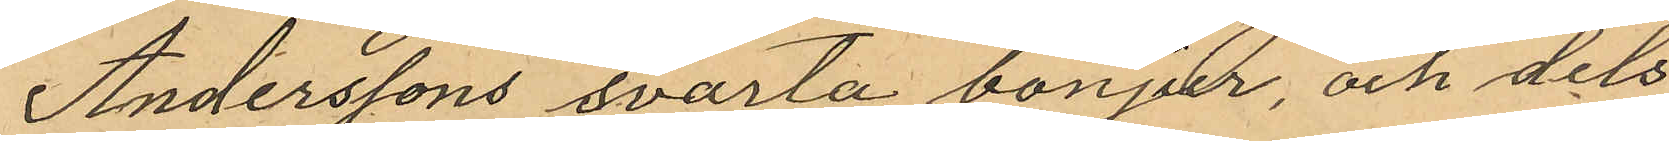Anderssons svarta bonjur, och dels
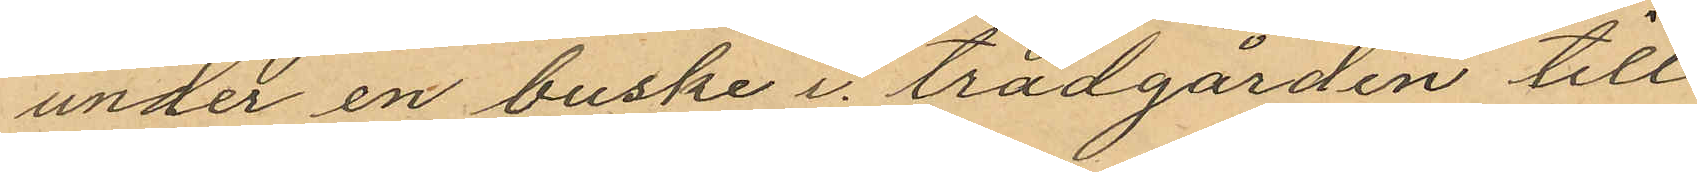under en buske i trädgården till
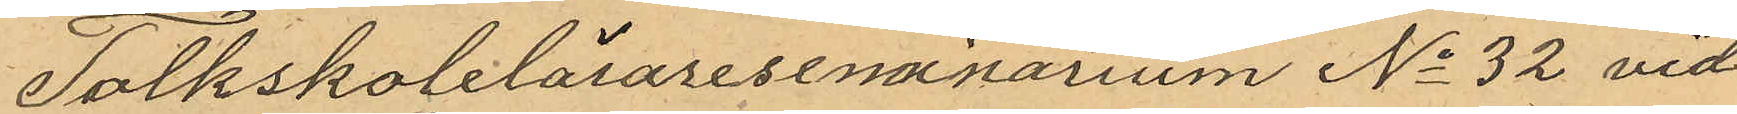Folkskolelärareseminarium No 32 vid
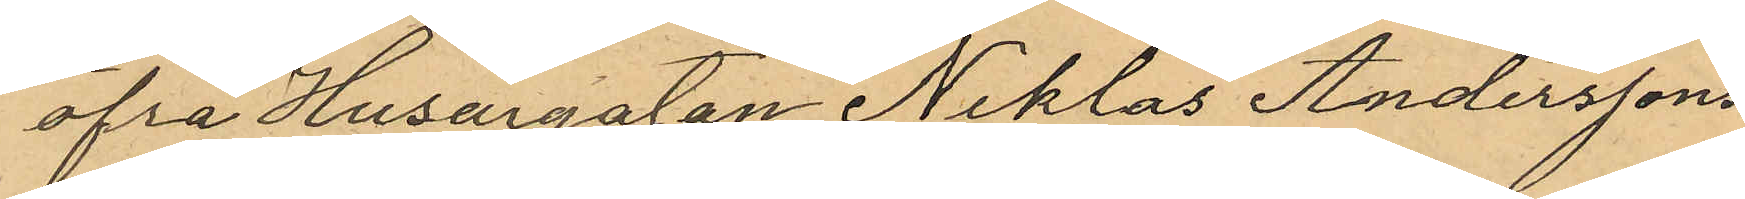Öfra Husargatan Niklas Anderssons
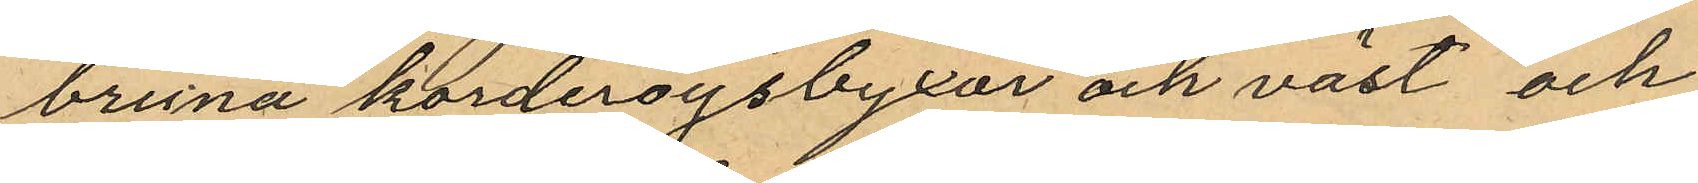bruna korderoysbyxor och väst och
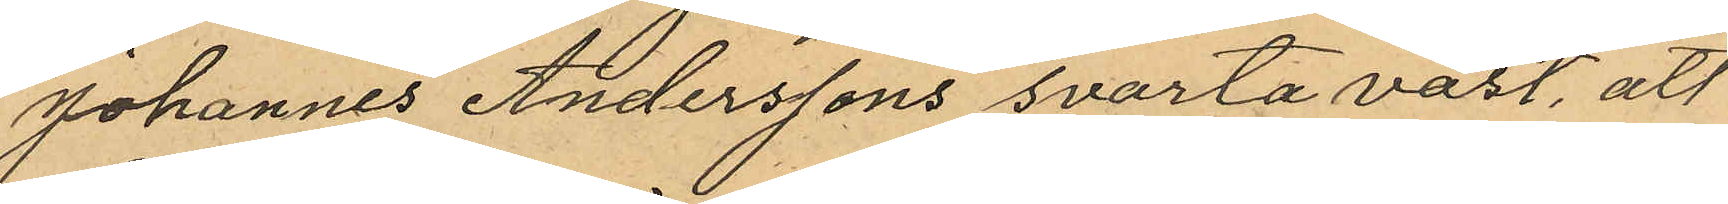Johannes Anderssons svarta väst, att
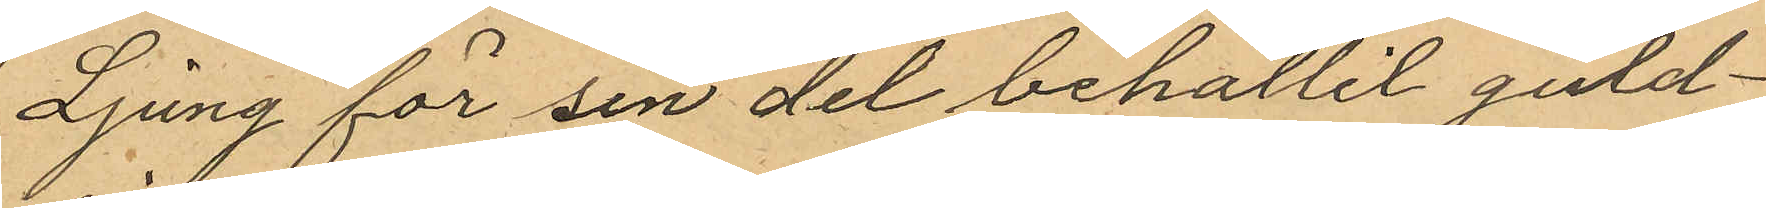Ljung för sin del behållit guld¬
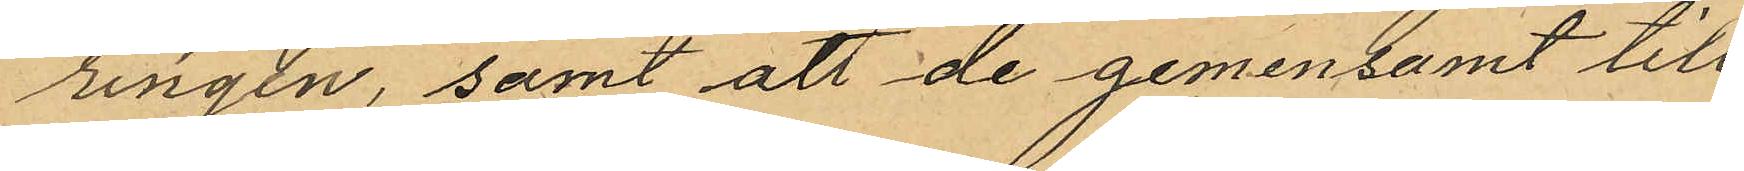ringen, samt att de gemensamt till
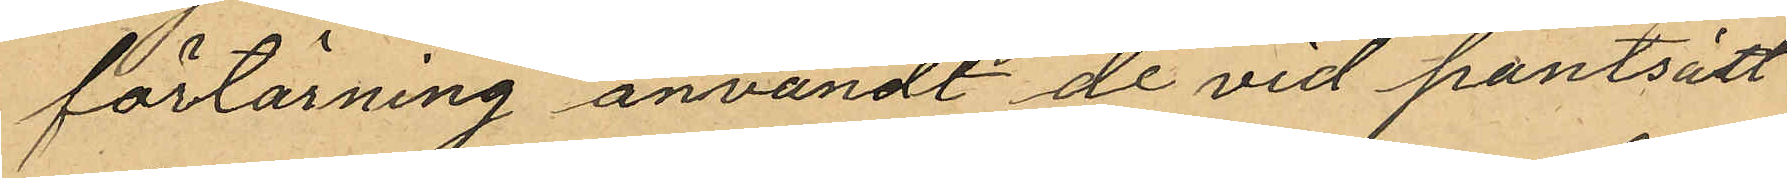förtärning användt de vid pantsätt¬
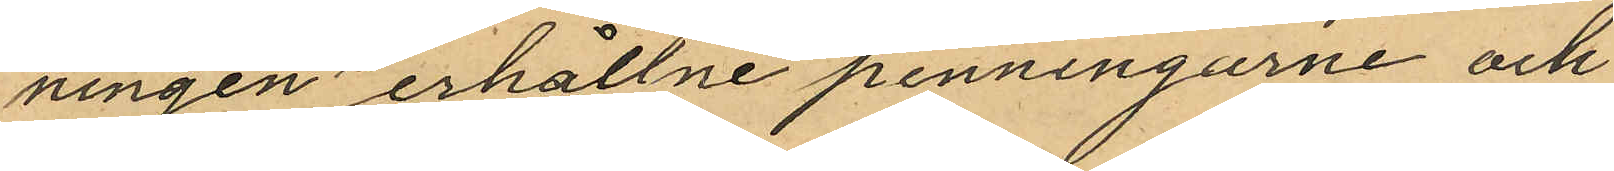ningen erhållne penningarne och
